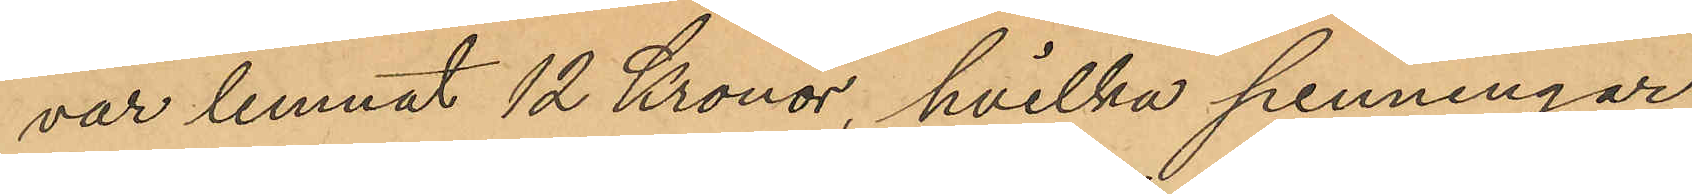var lemnat 12 Kronor, hvilka penningar
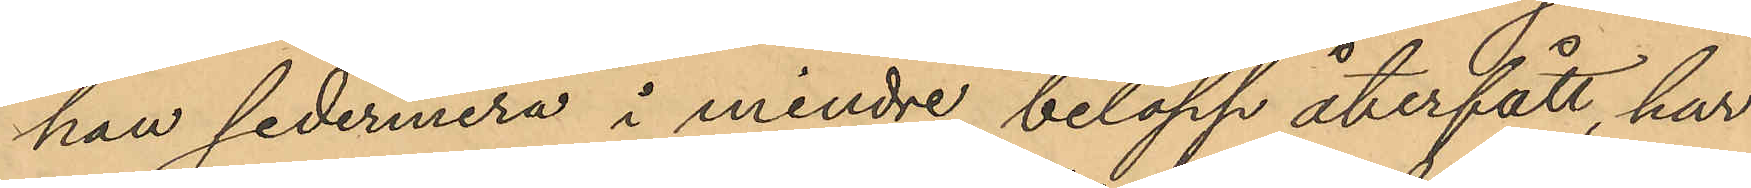han sedermera i mindre belopp återfått, har
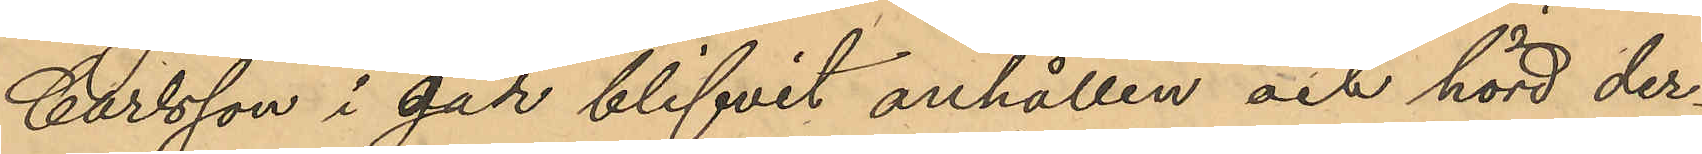Carlsson i går blifvit anhållen och hörd der¬
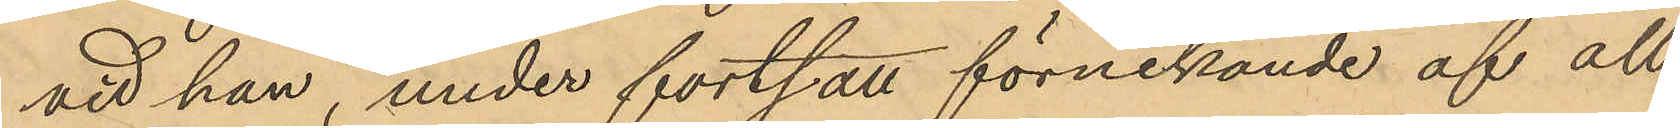vid han, under fortsatt förnekande af all
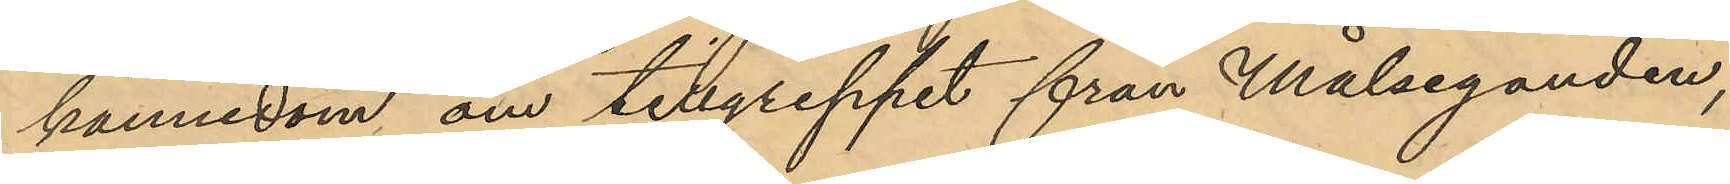kännedom om tillgreppet från Målseganden,
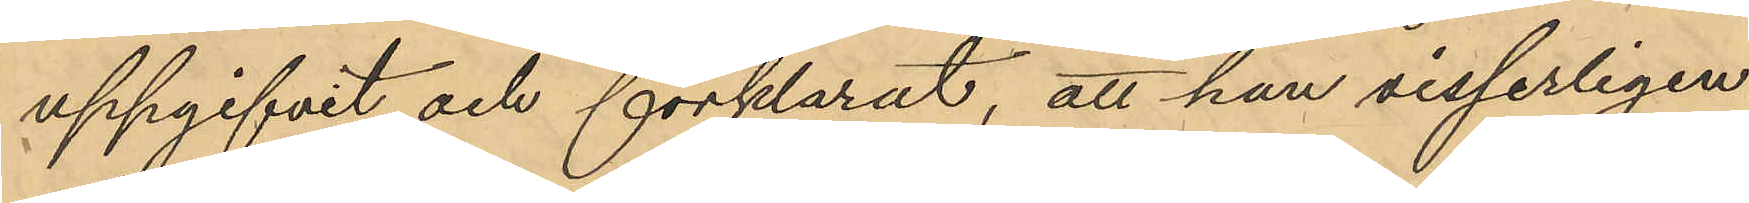uppgifvit och förklarat, att han visserligen
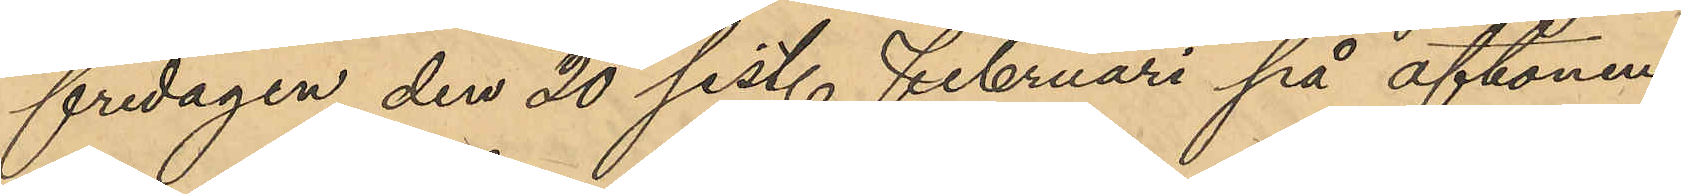fredagen den 20 sist. Februari på aftonen
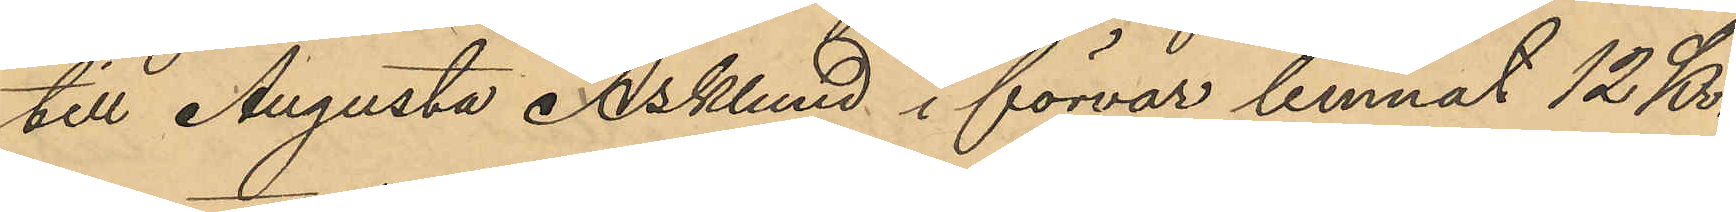till Augusta Asklund i förvar lemnat 12 Kr.
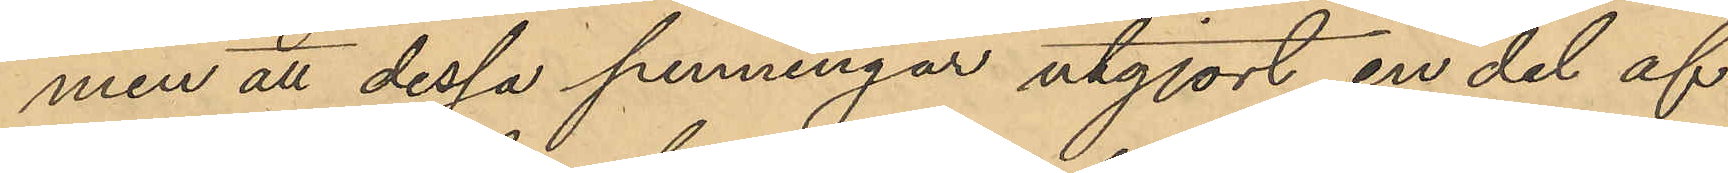men att dessa penningar utgjort en del af
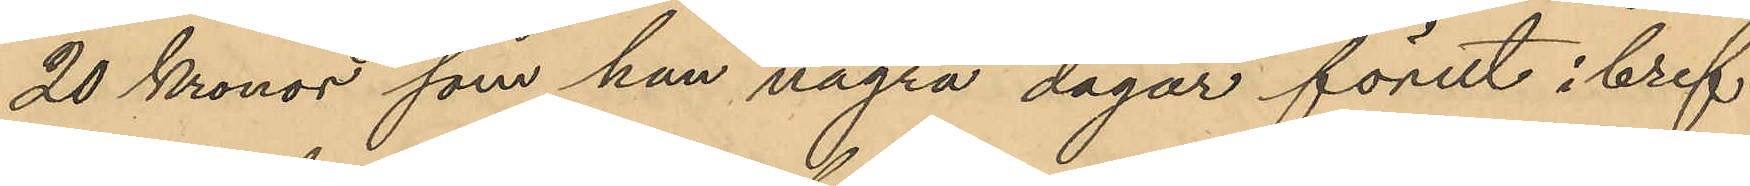20 Kronor som han några dagar förut i bref
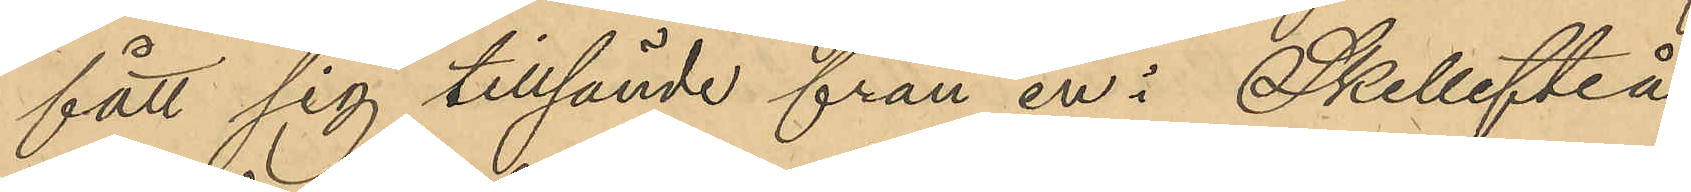fått sig tillsände från en i Skellefteå
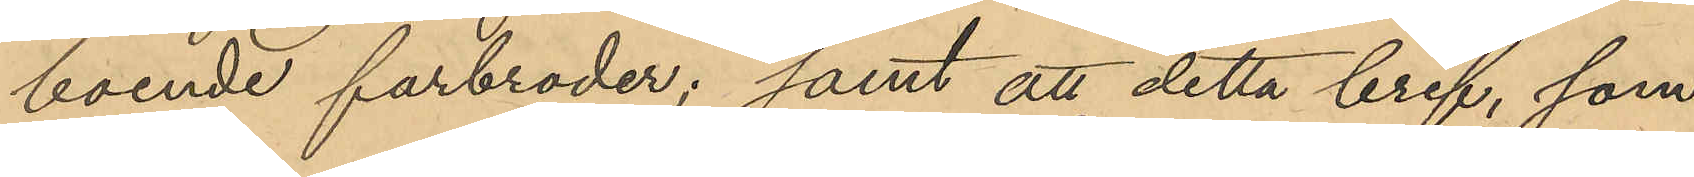boende farbroder; samt att detta bref, som
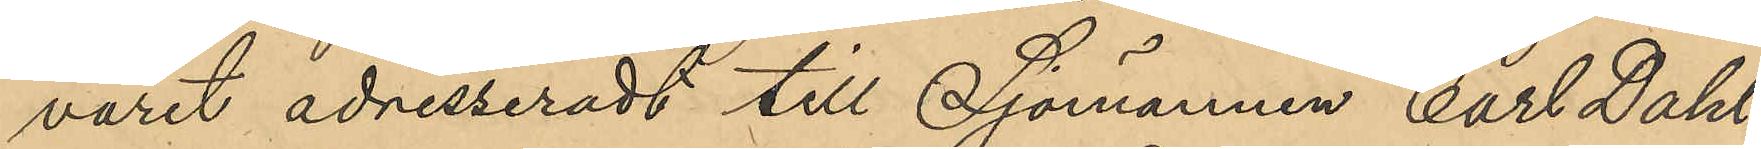varit adresseradt till Sjömannen Carl Dahl¬
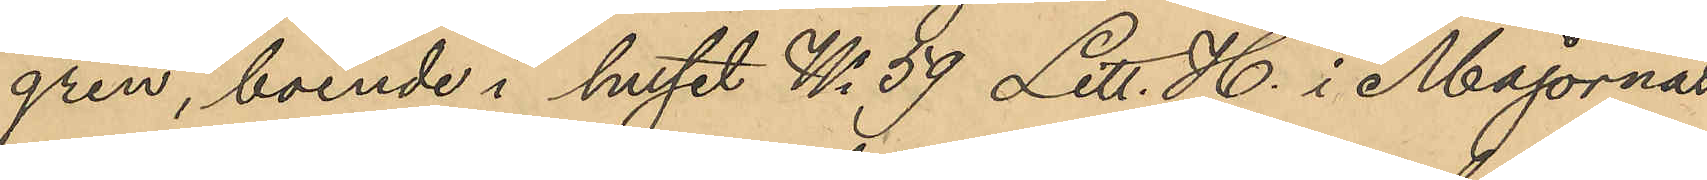gren, boende i huset No 59 Litt. H. i Majornas
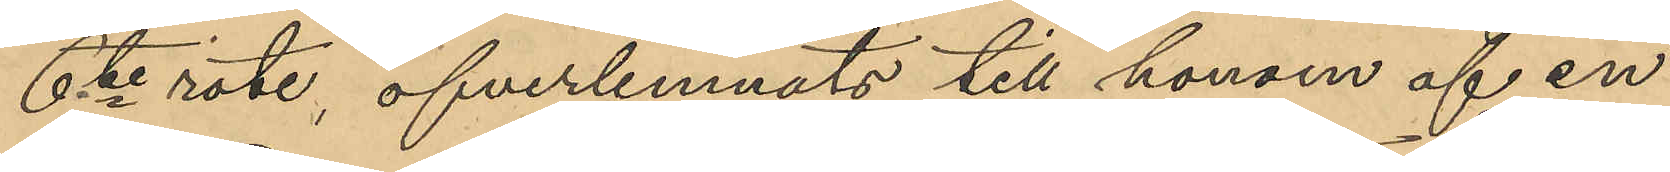6te rote, öfverlemnats till honom af en
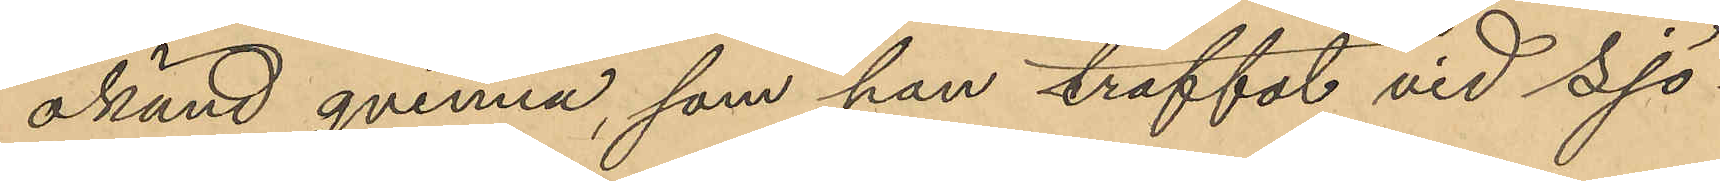okänd qvinna, som han träffat vid Sjö¬
